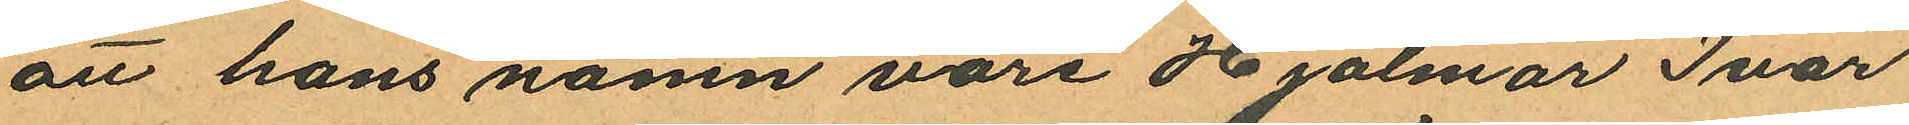att hans namn vore Hjalmar Ivar
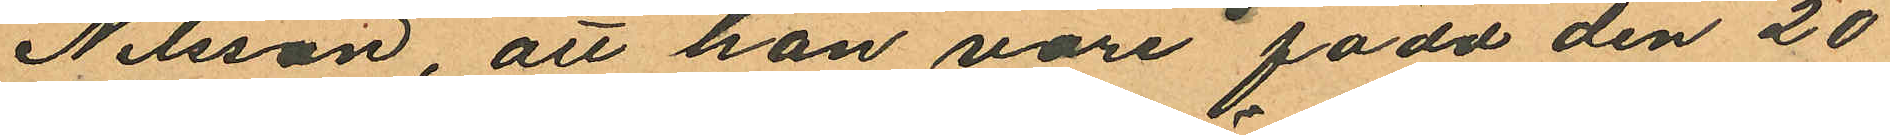Nilsson, att han vore född den 20
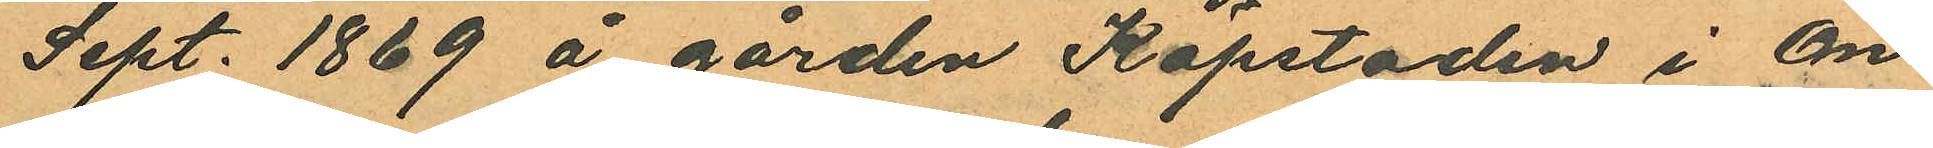Sept. 1869 å gården Köpstaden i On¬
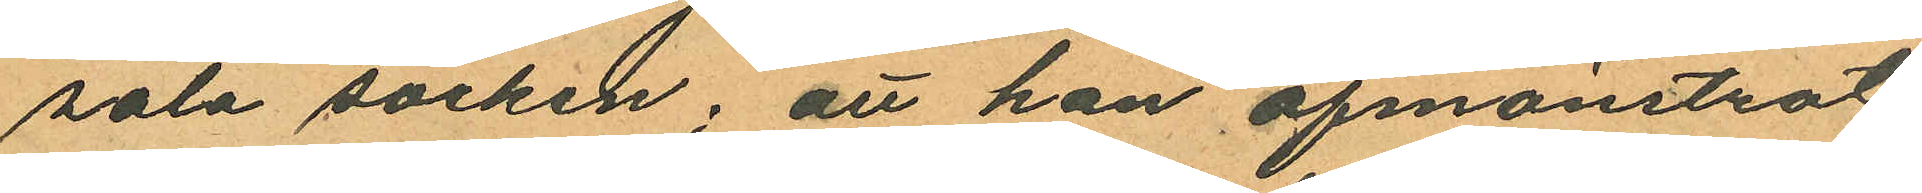sala socken; att han afmönstrat
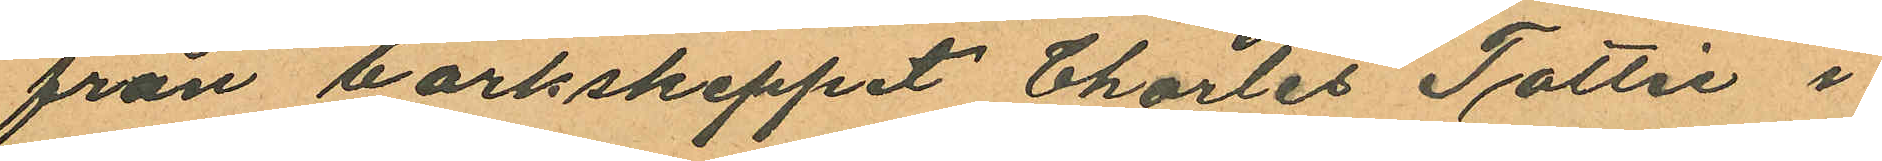från barkskeppet Charles Tottie i
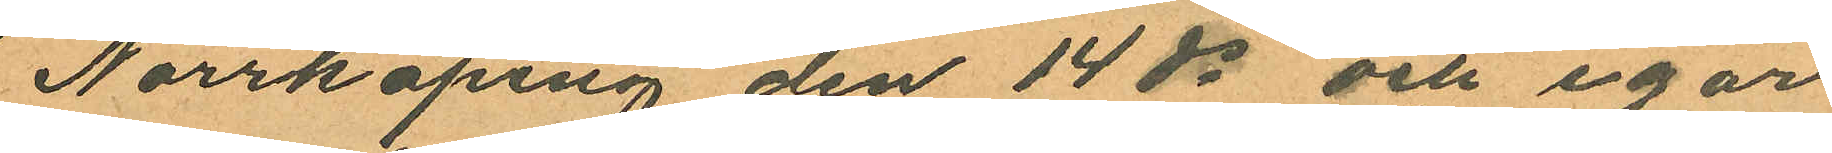Norrköping den 14 ds och igår
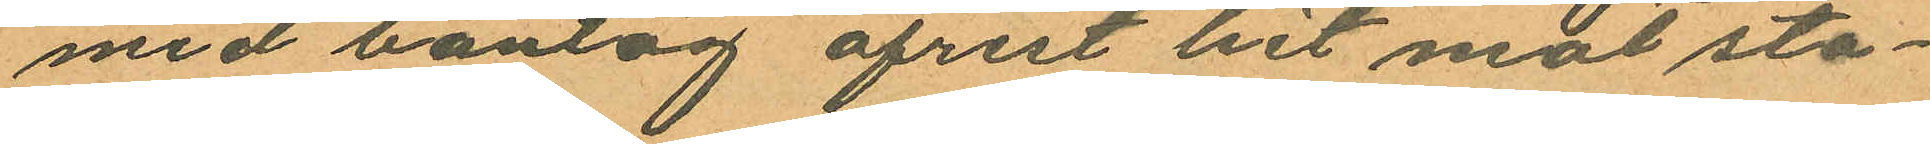med bantåg afrest hit mot sta¬
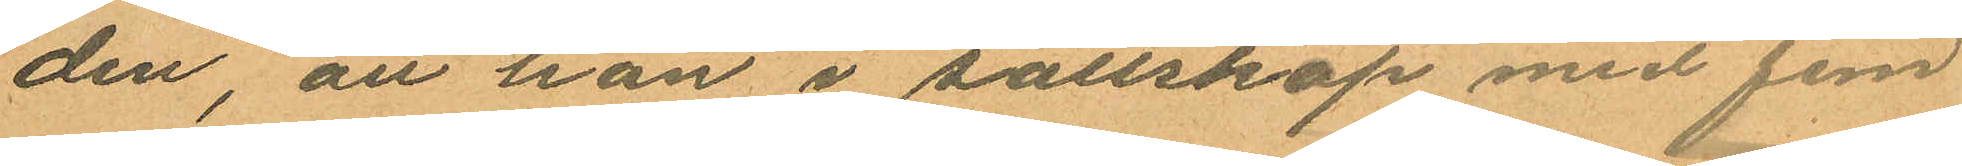den, att han i sällskap med fem
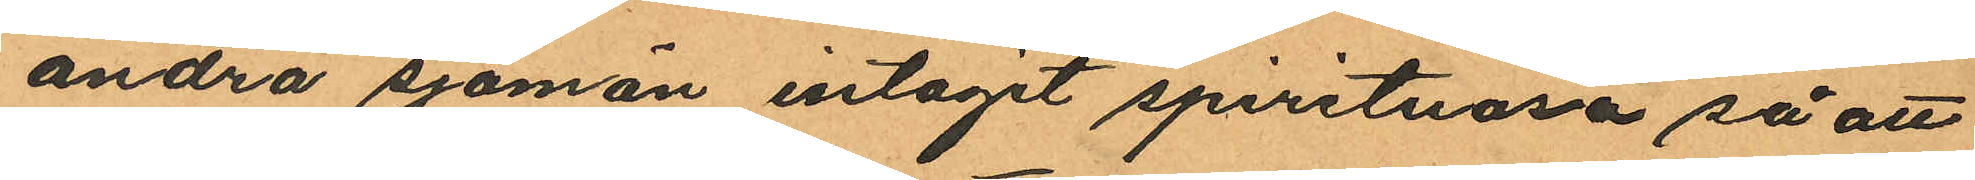andra sjömän intagit spirituosa så att
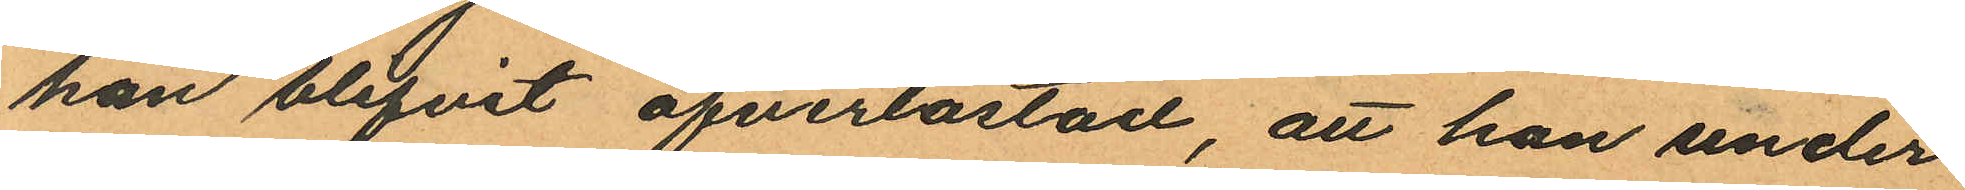han blifvit öfverlastad, att han under
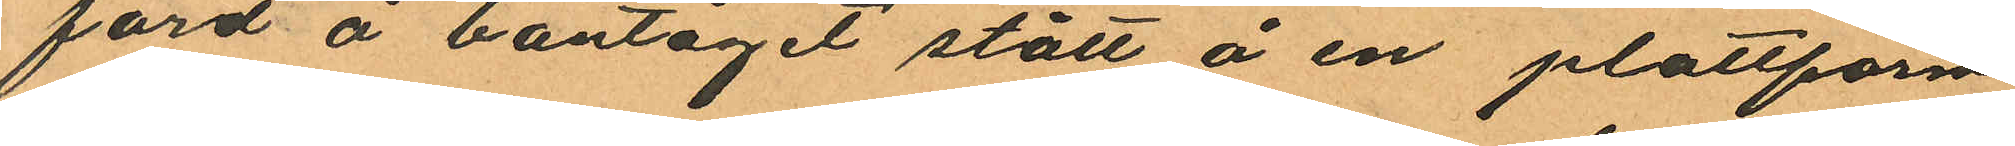färd å bantåget stått å en plattform
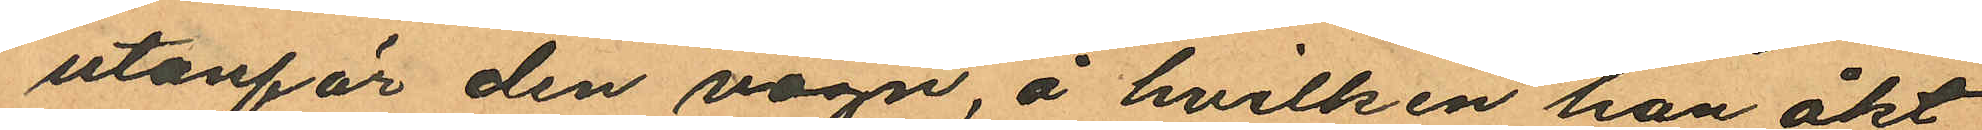utanför den vagn, å hvilken han åkt
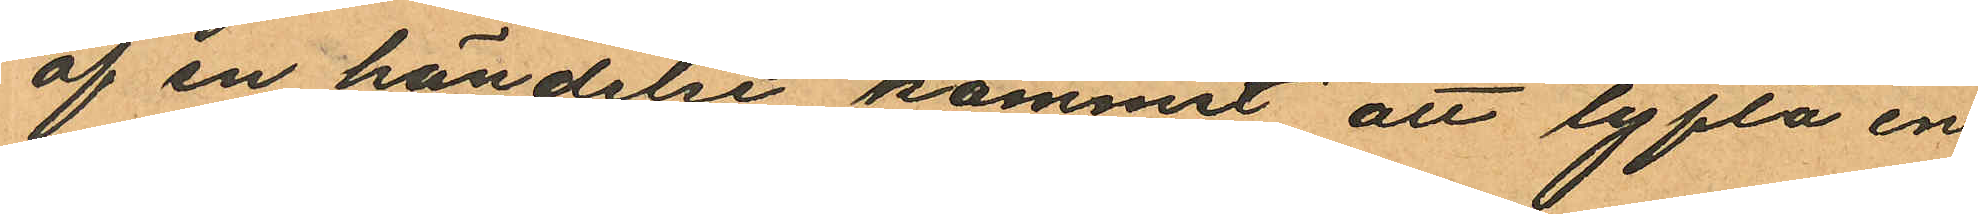af en händelse kommit att lyfta en
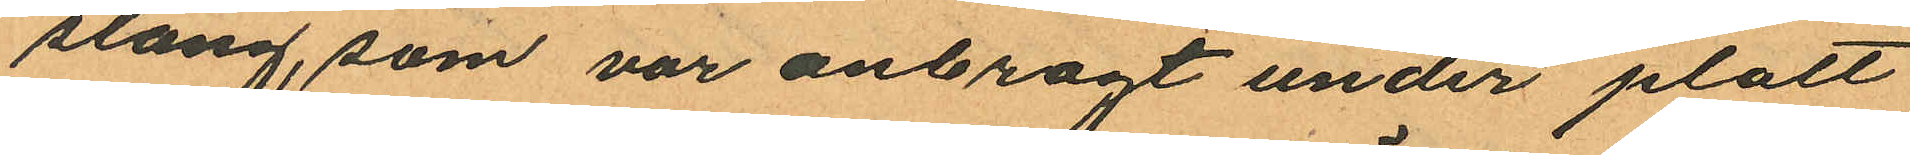slang, som var anbragt under platt¬
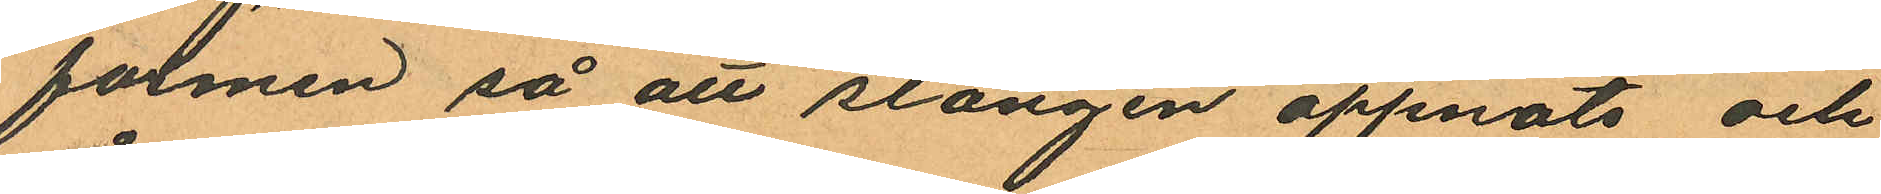formen så att slangen öppnats och
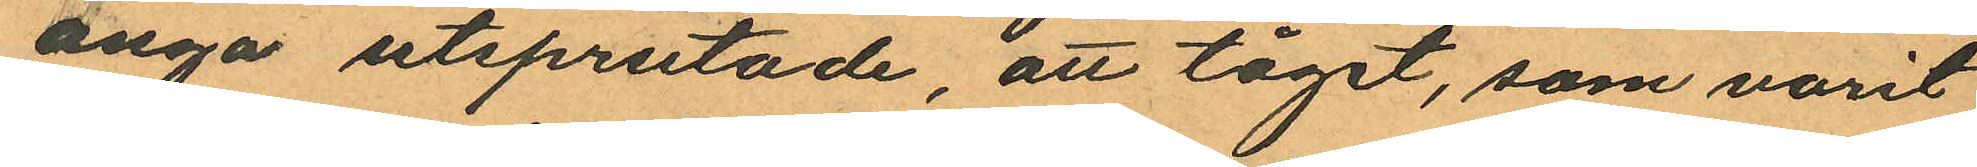ånga utsprutade, att tåget, som varit
